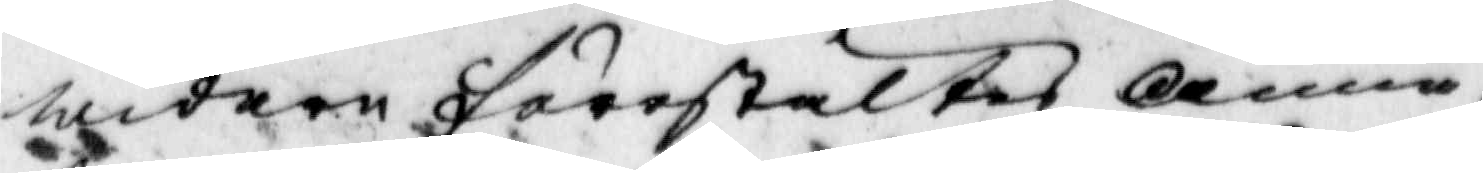widare förestältes anna
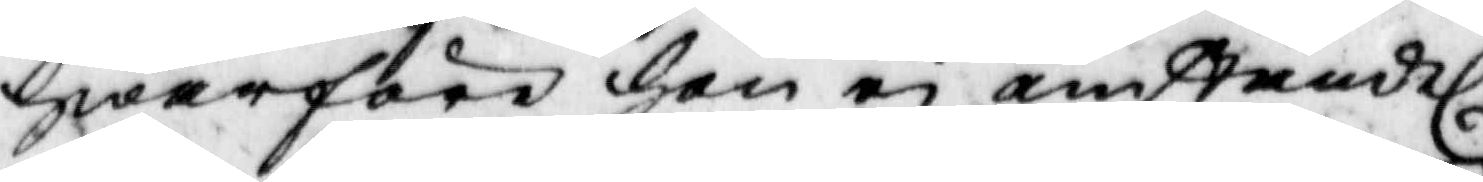hwarföre hon ei omständel.
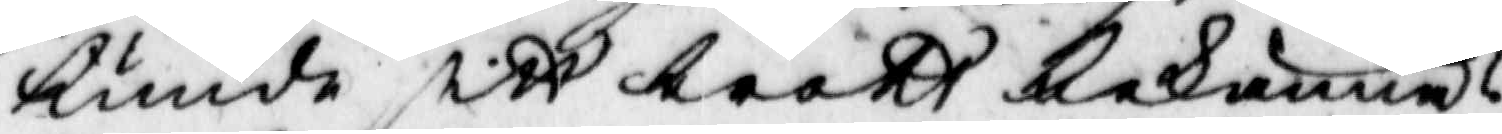kunde sitt brott bekänna?
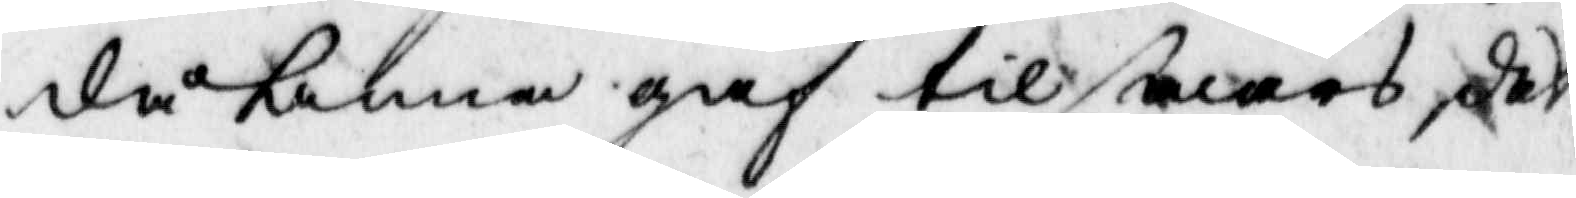då kunna gaf til swars, det
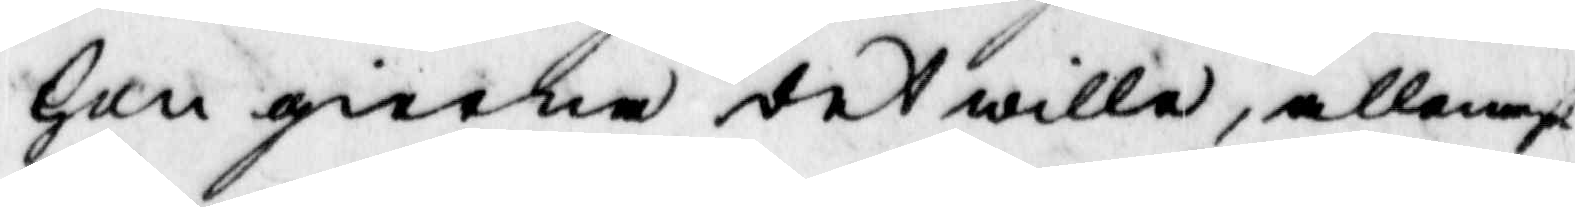hon gierna det wille, allenast
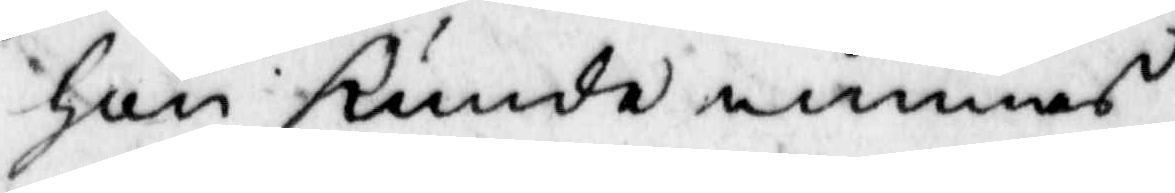hon kunde minnas.
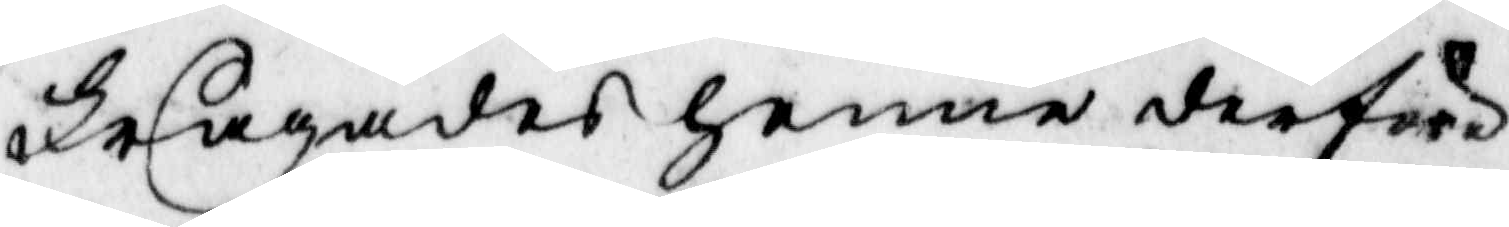frågades henne derföre
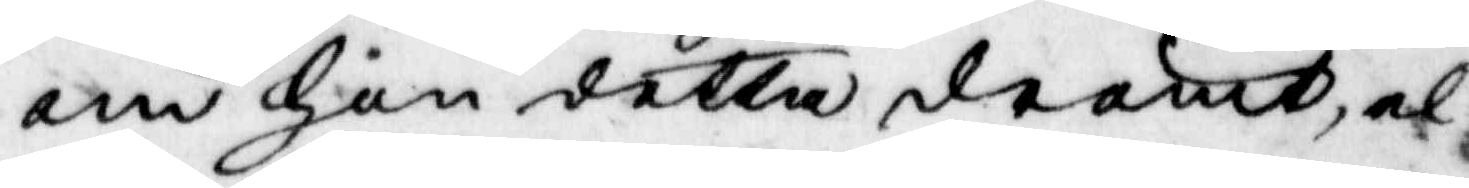om hon detta drömt, el¬
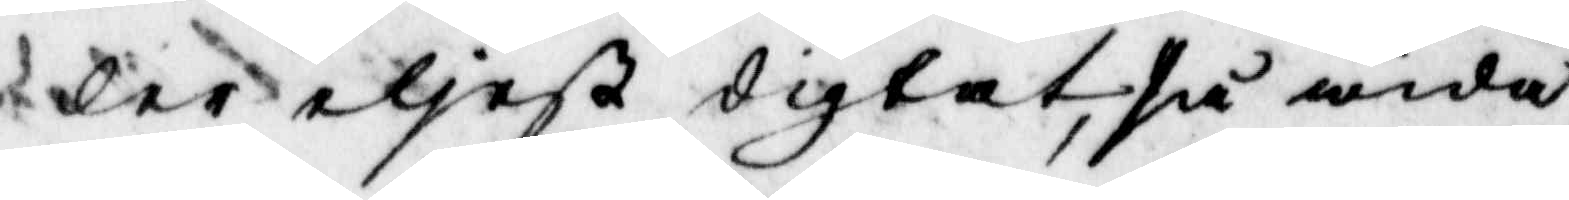ler eliest digtat, så wida
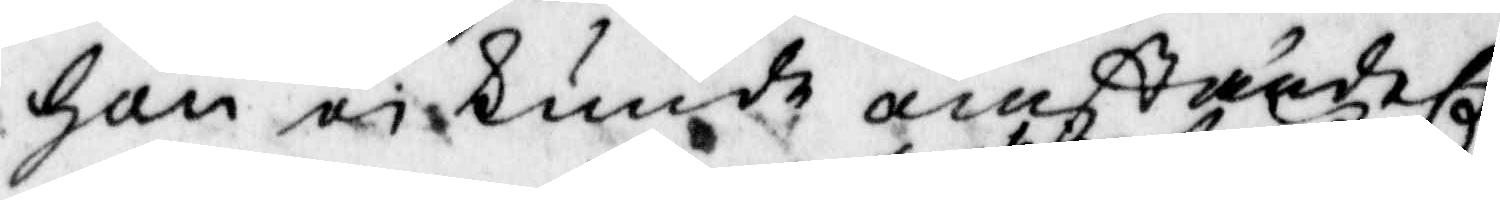hon ei kunde omständel.
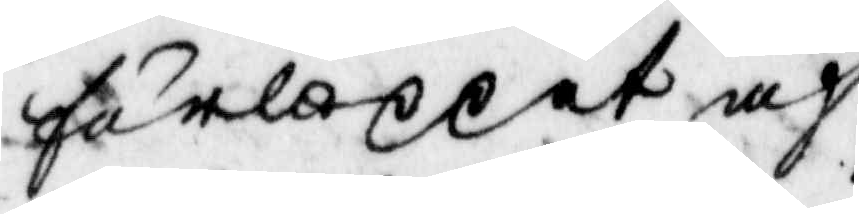förloppet af
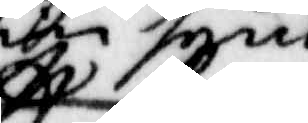sin synd
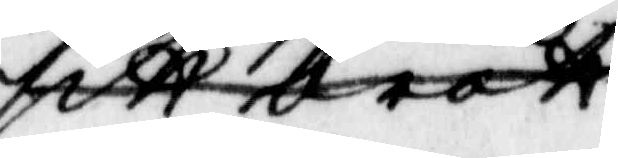sitt brott
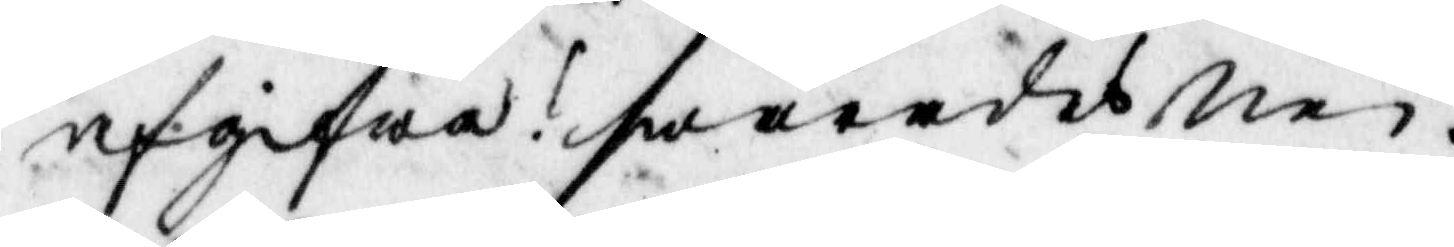afgifwa? swarades Nei.
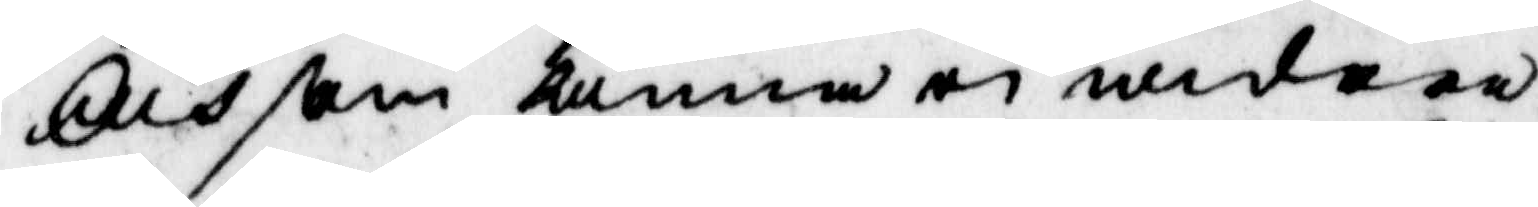Och som annan ei widare
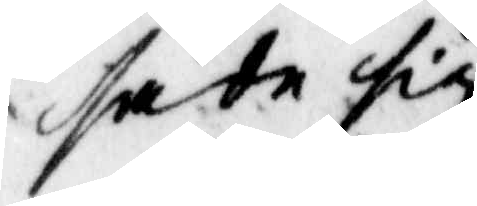sade sig
